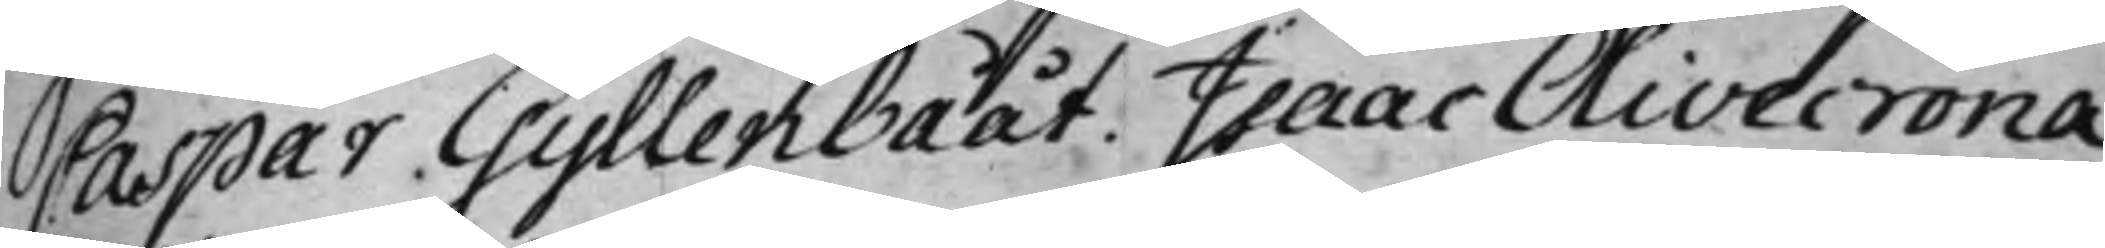Caspar Gyllenbååt. Isaac Olivecrona.
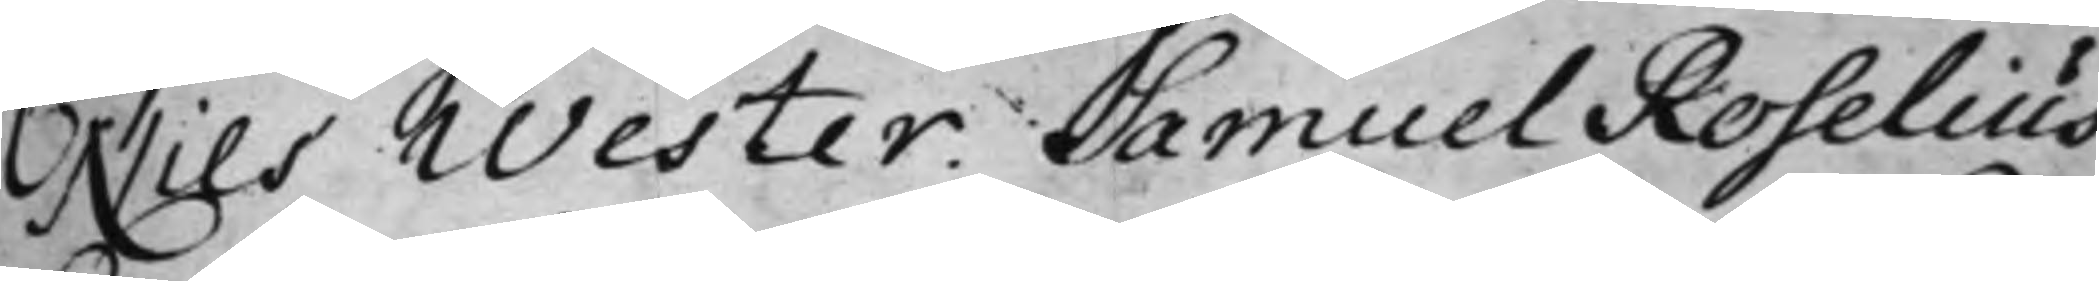Nils Wester. Samuel Roselius.
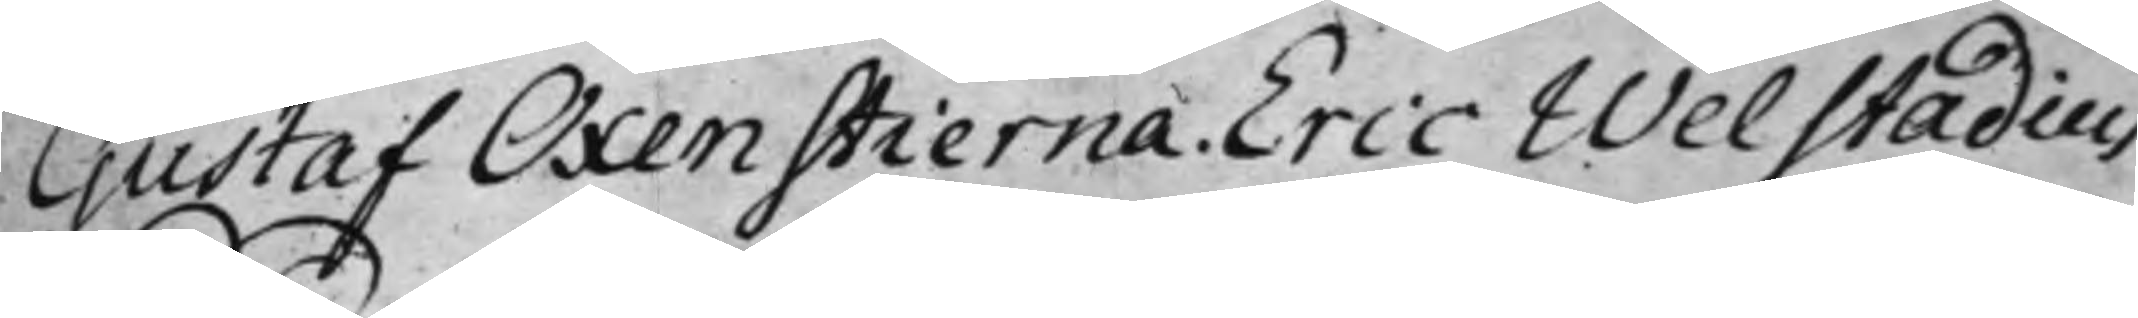Gustaf Oxenstierna. Eric Welstadius.
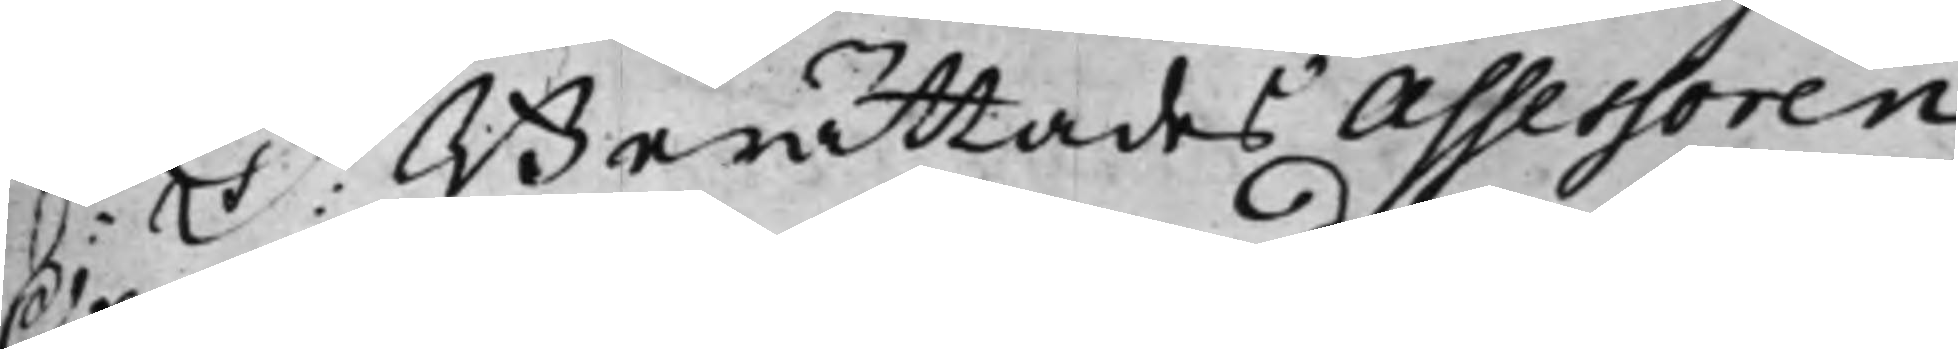S: D: Berättades Assessoren
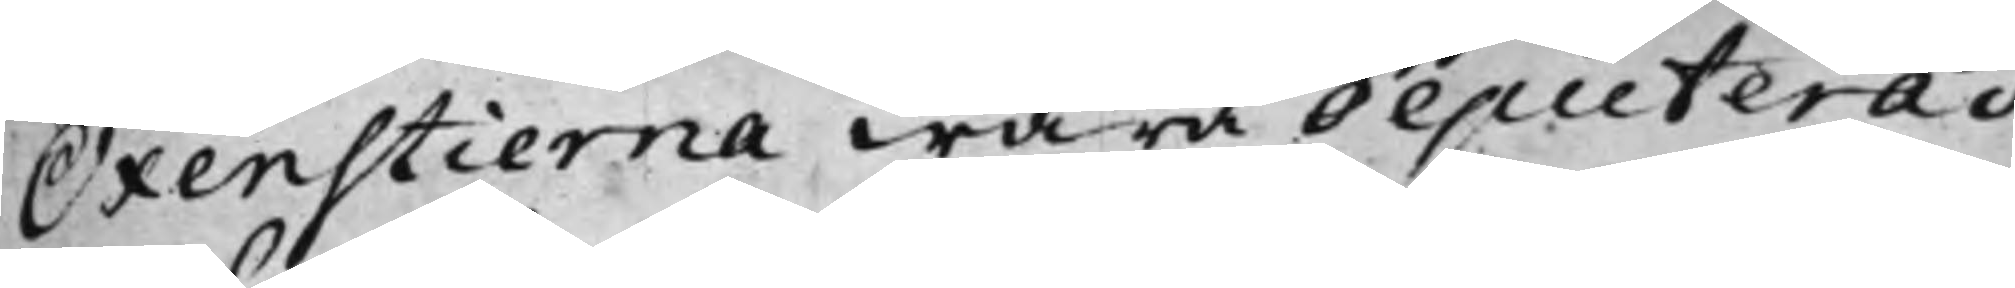Oxenstierna wara deputerad,
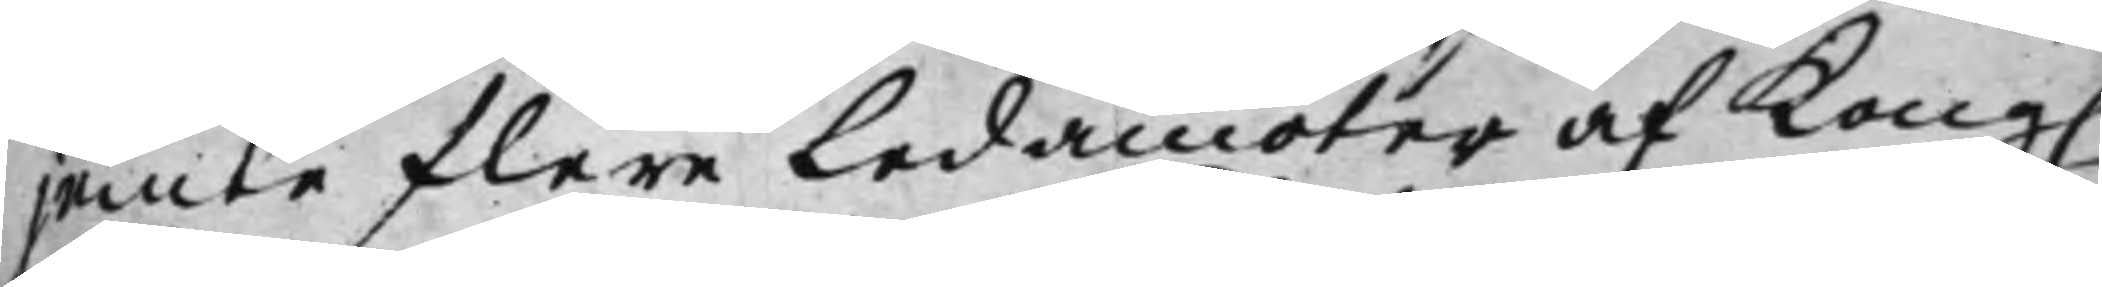jemte flere Ledamöter af Kong.
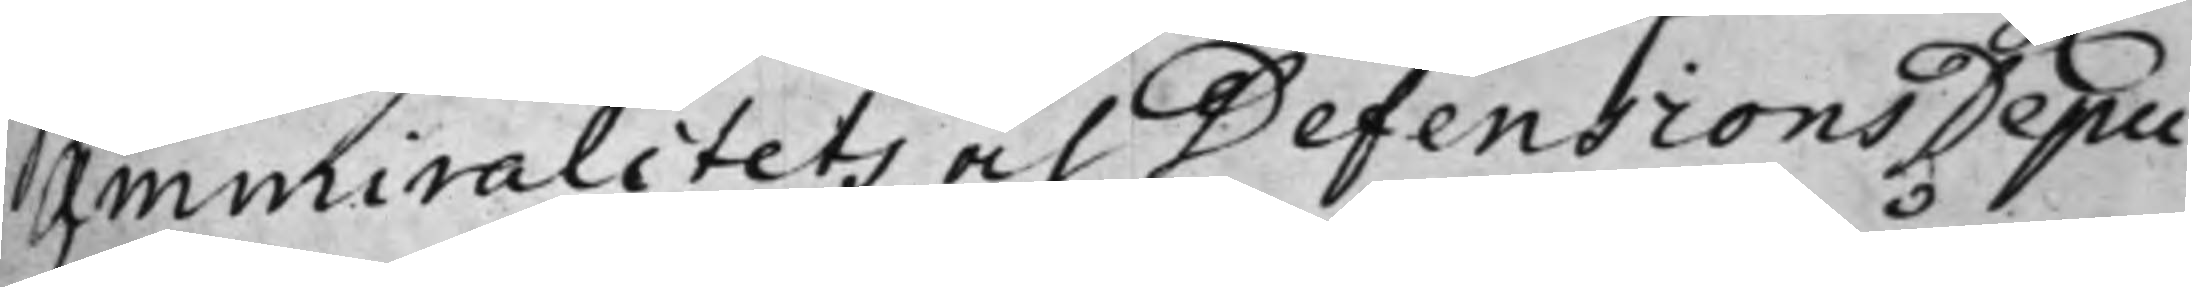Ammiralitets och Defensions Depu¬
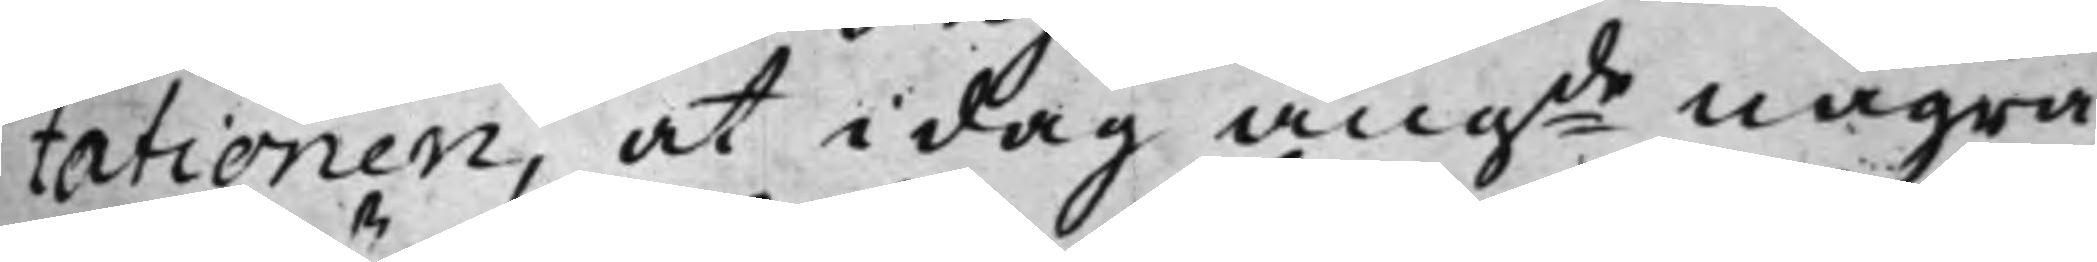tationen, at i dag angde några
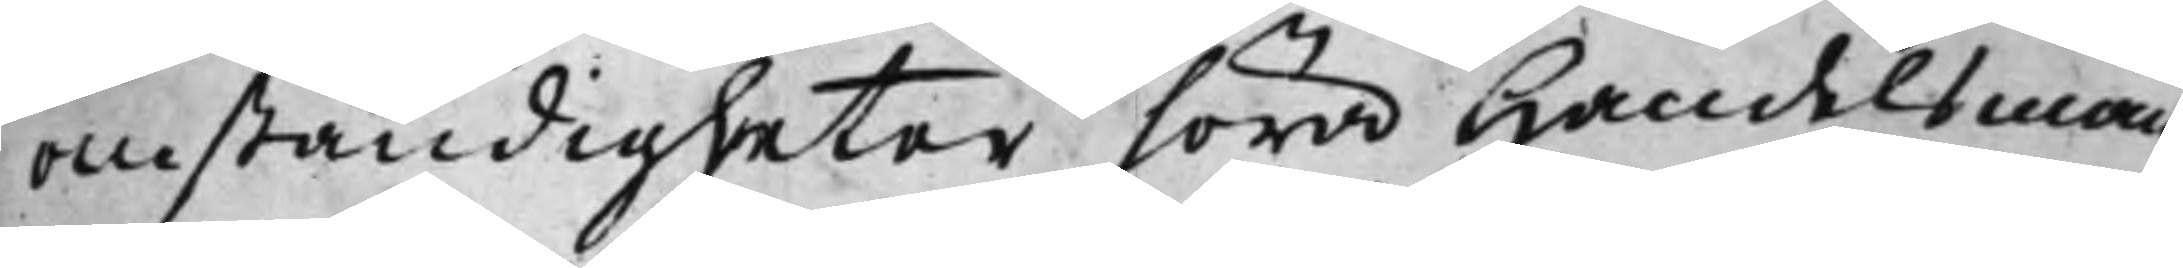omständigheter höra Handelsman¬
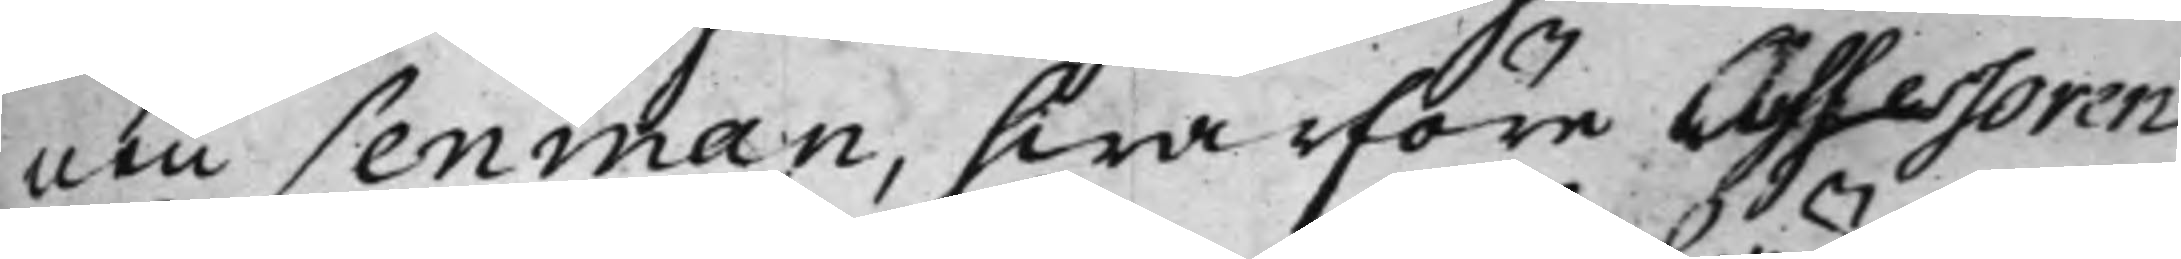nen Lenman, hwarföre Assessoren
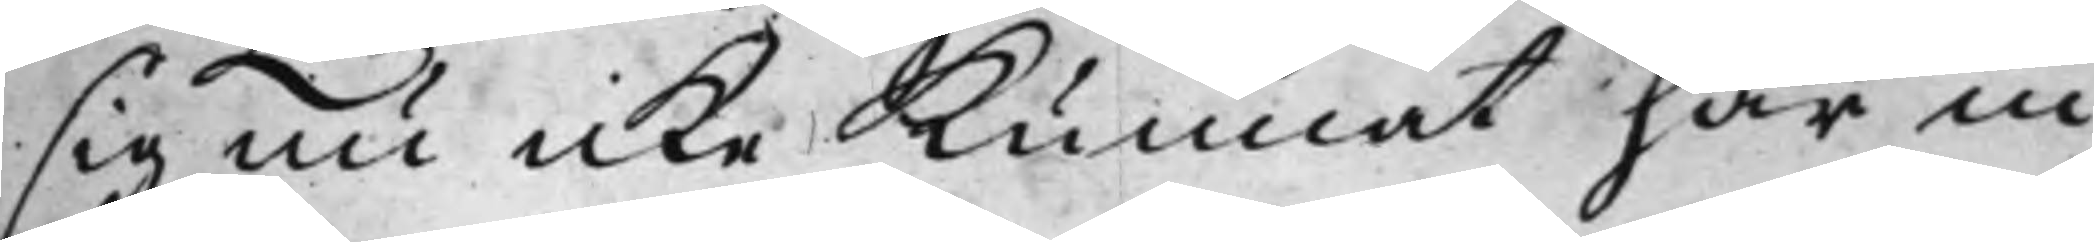sig nu icke kunnat här in¬
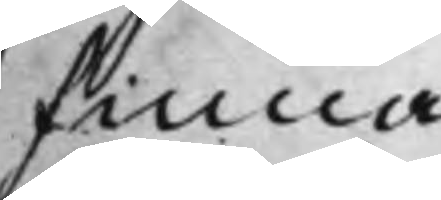finna.
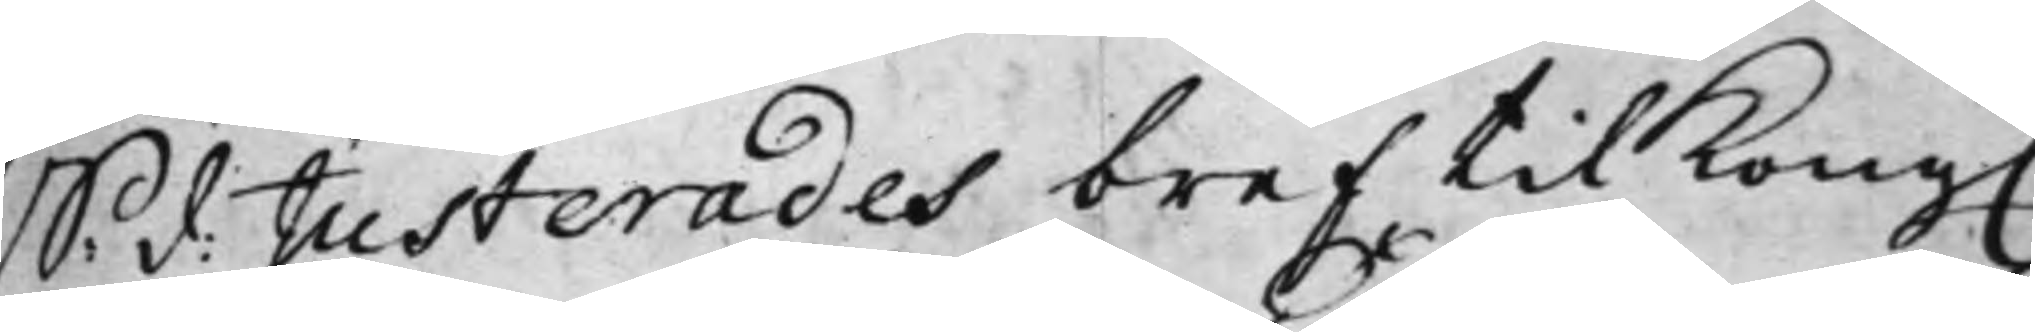S: d: Justerades bref til Kong.
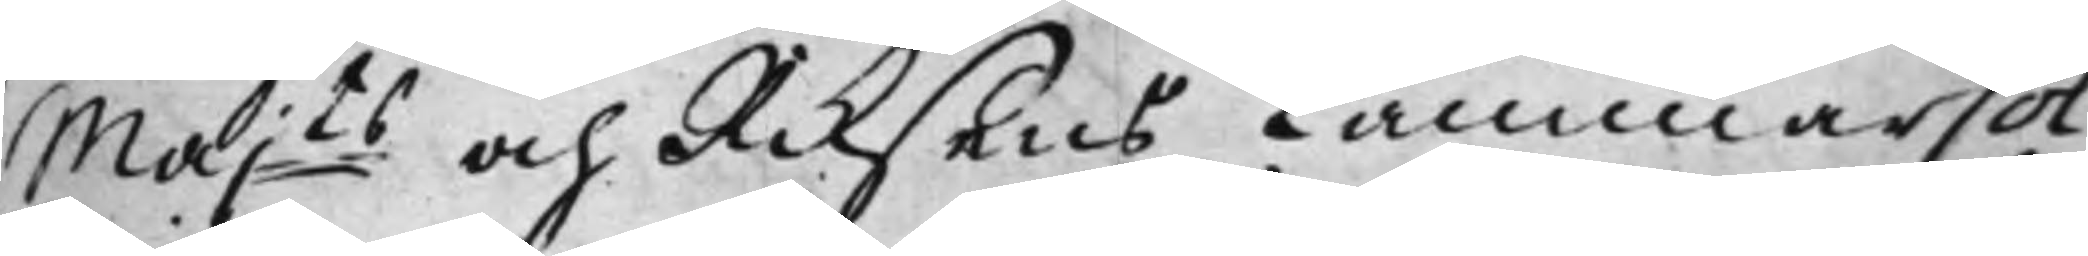Majts och Riksens CammarCol¬
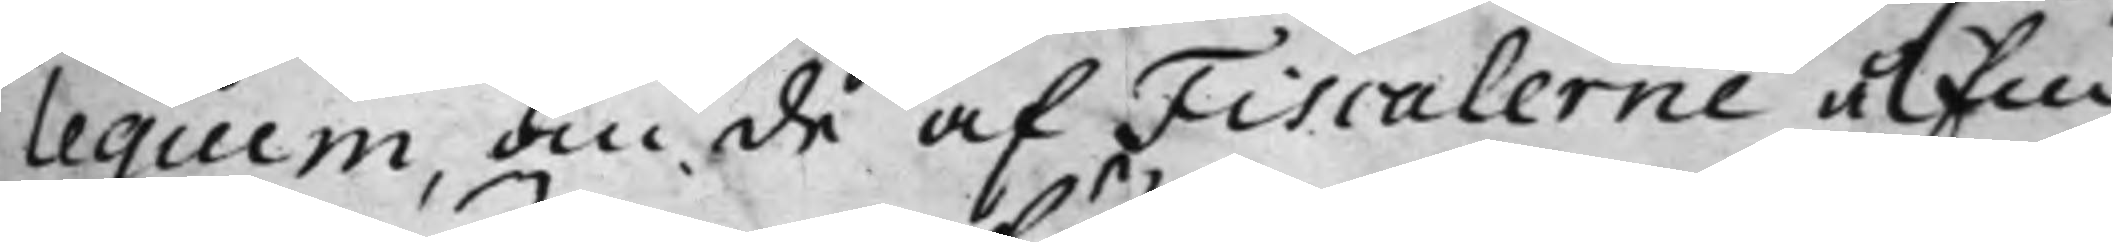legium, om de af Fiscalerne å Em¬
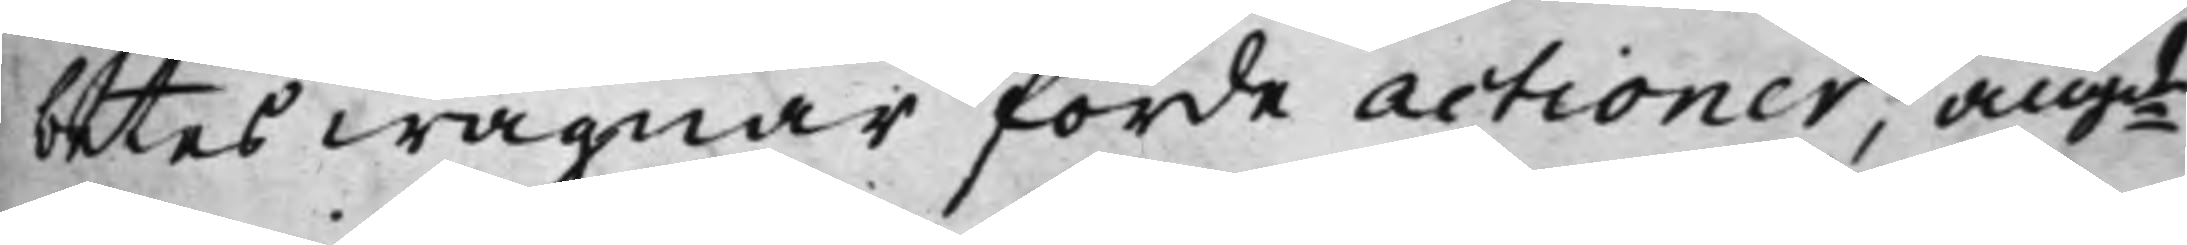betes wägnar förde actioner, angde
